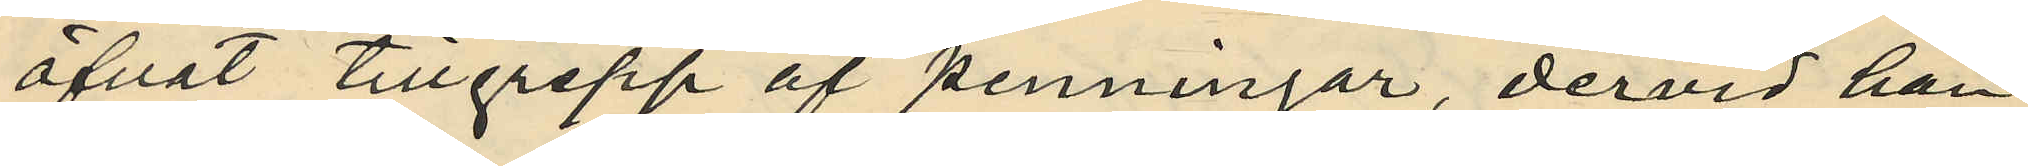öfvat tillgrepp af penningar, dervid han
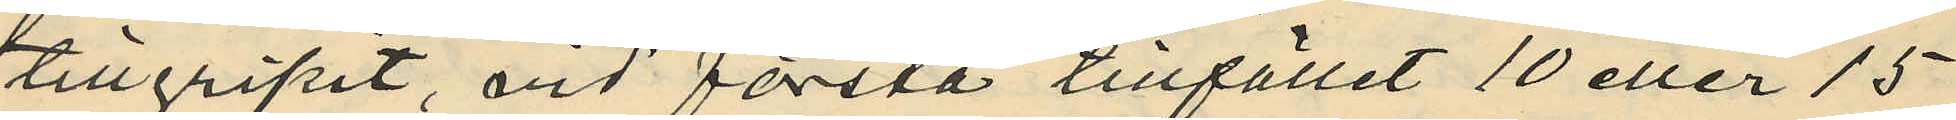tillgripit, vid första tillfället 10 eller 15
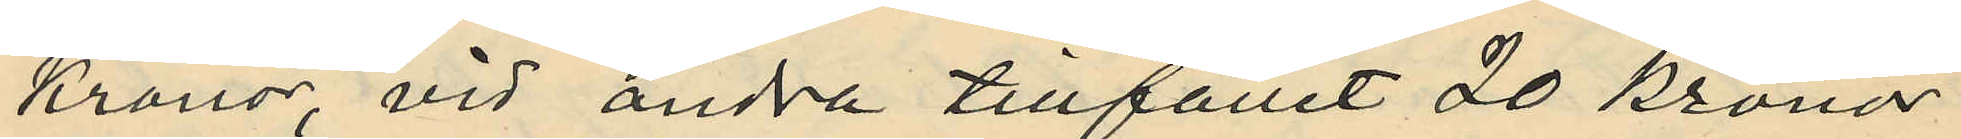kronor, vid andra tillfället 20 kronor
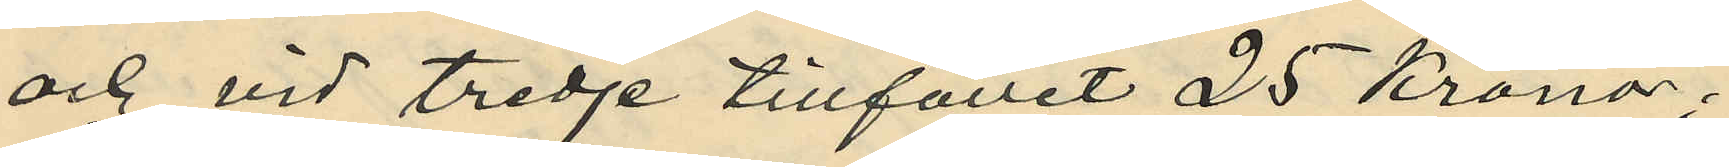och vid tredje tillfället 25 kronor;
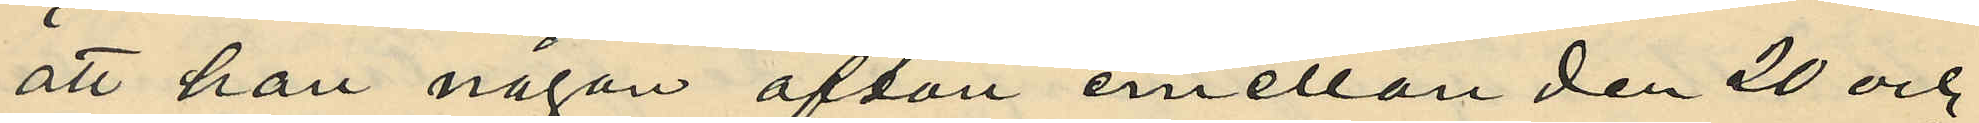att han någon afton emellan den 20 och
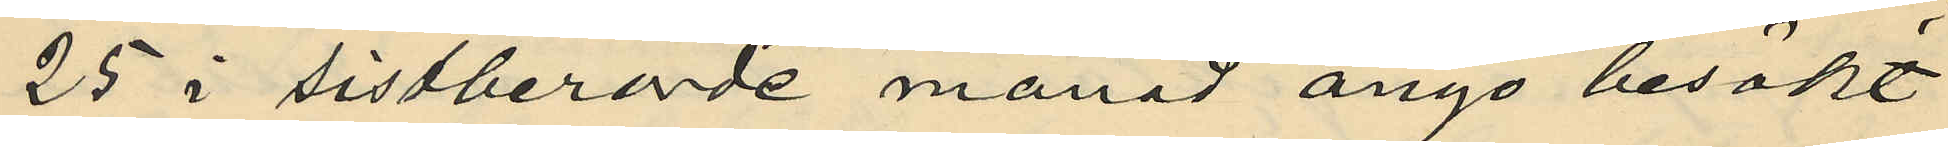25 i sistberörde månad ånyo besökt
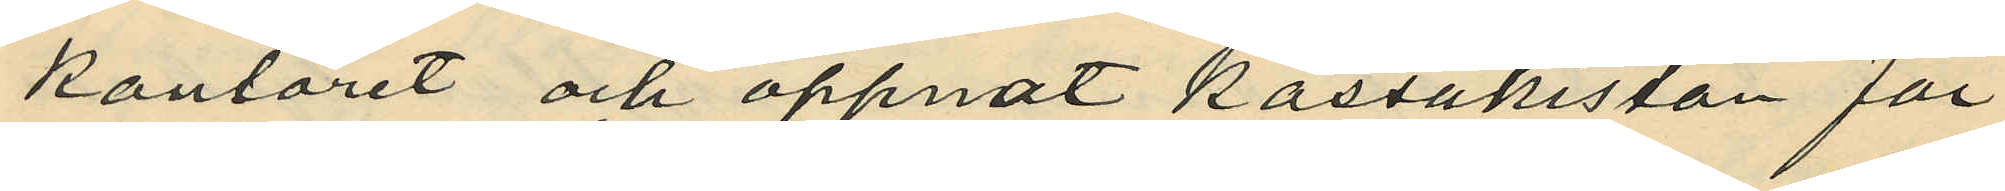kontoret och öppnat kassakistan för
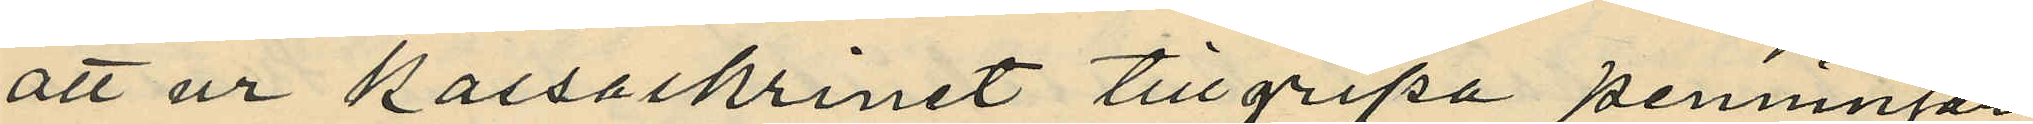att ur kassaskrinet tillgripa penningar,
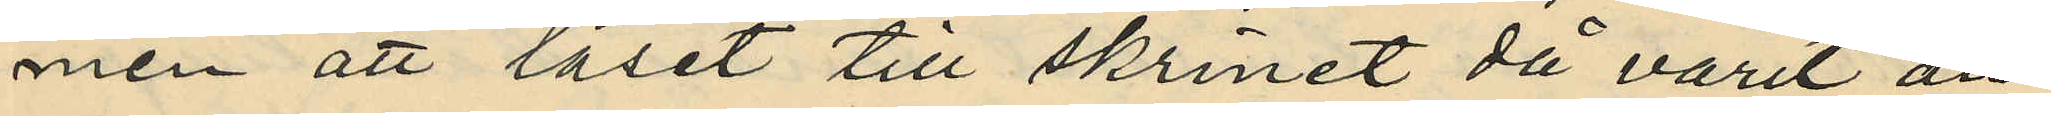men att låset till skrinet då varit än¬
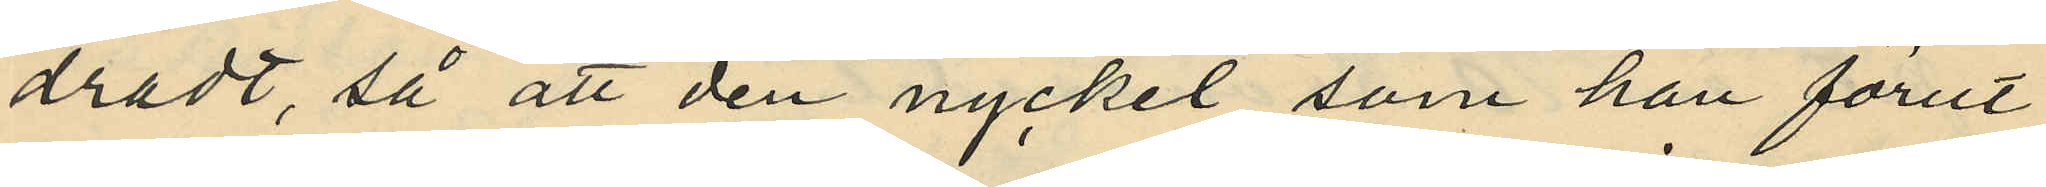dradt, så att den nyckel som han förut
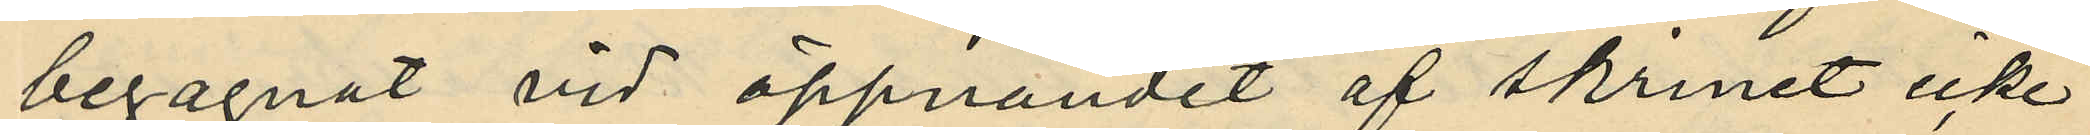begagnat vid öppnandet af skrinet icke
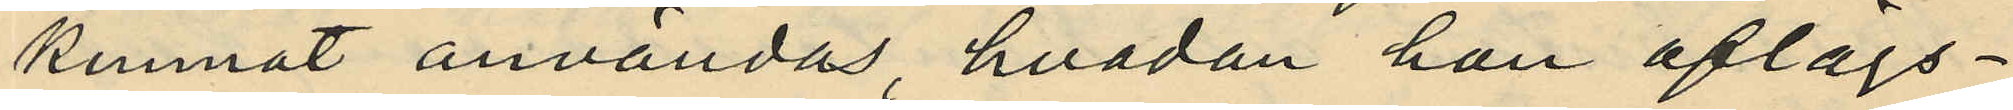kunnat användas, hvadan han aflägs¬
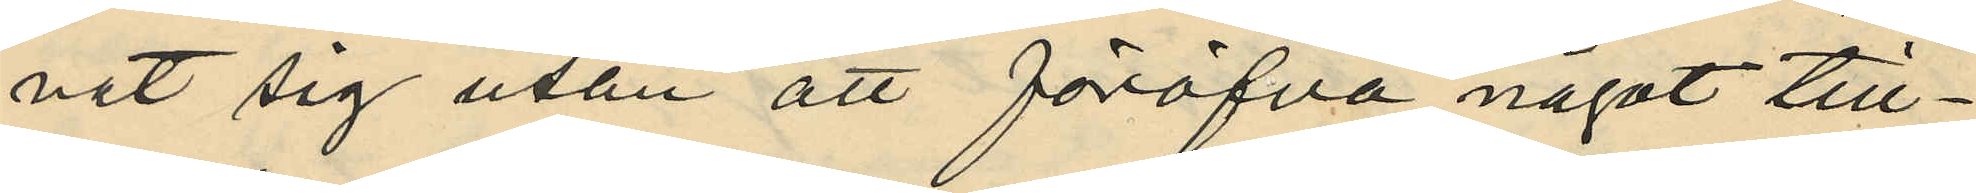nat sig utan att föröfva något till¬
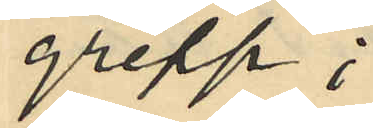grepp;
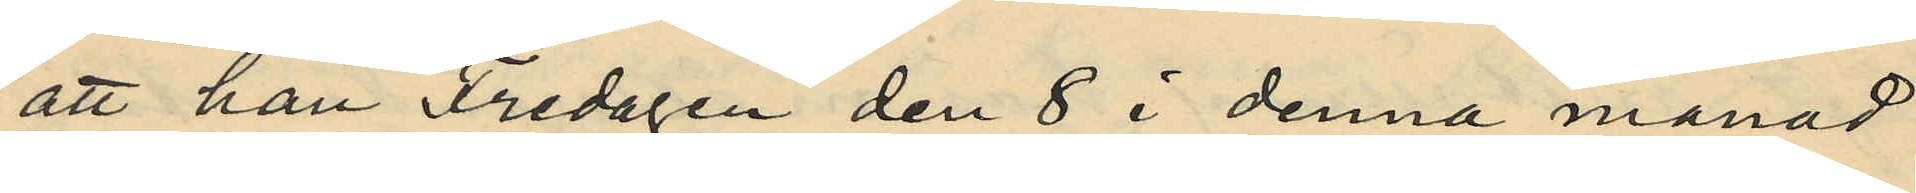att han Fredagen den 8 i denna månad
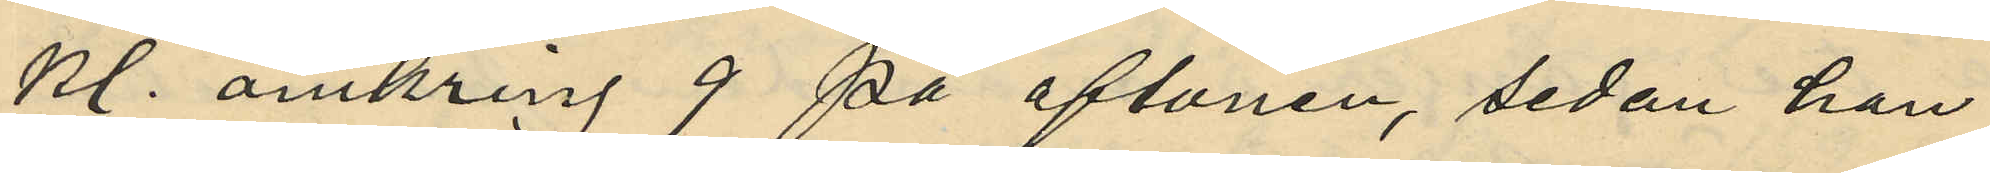kl. omkring 9 på aftonen, sedan han
